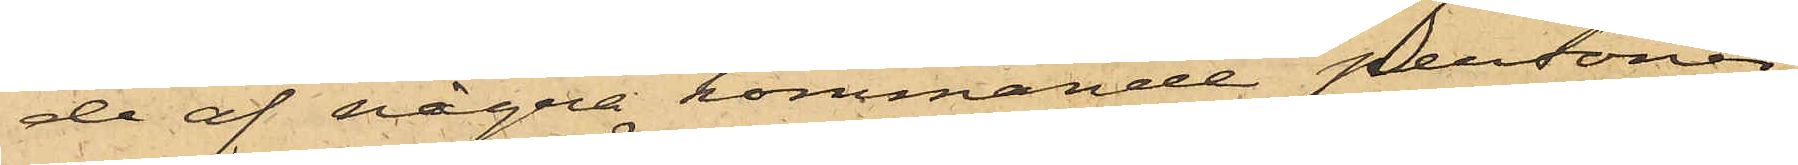de af några kommande personer,
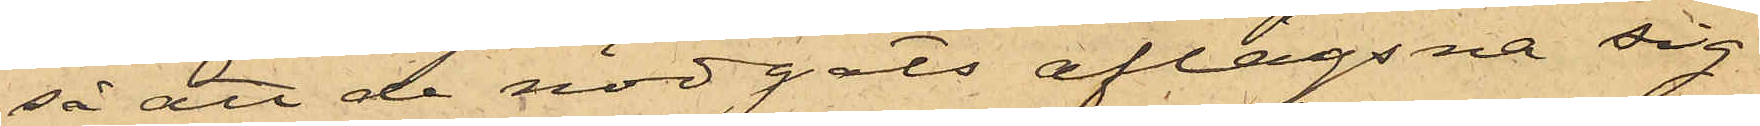så att de nödgats aflägsna sig
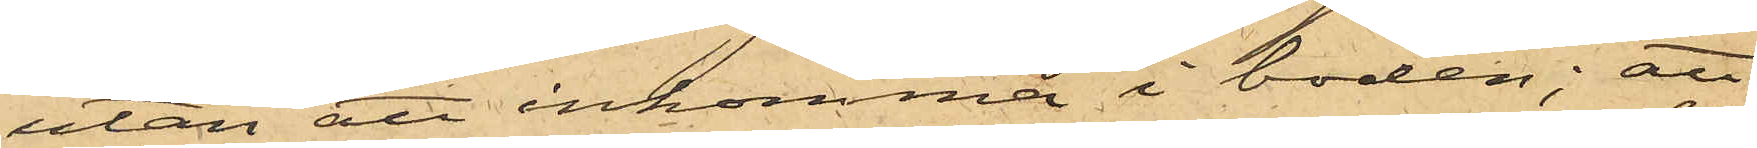utan att inkomma i boden; att
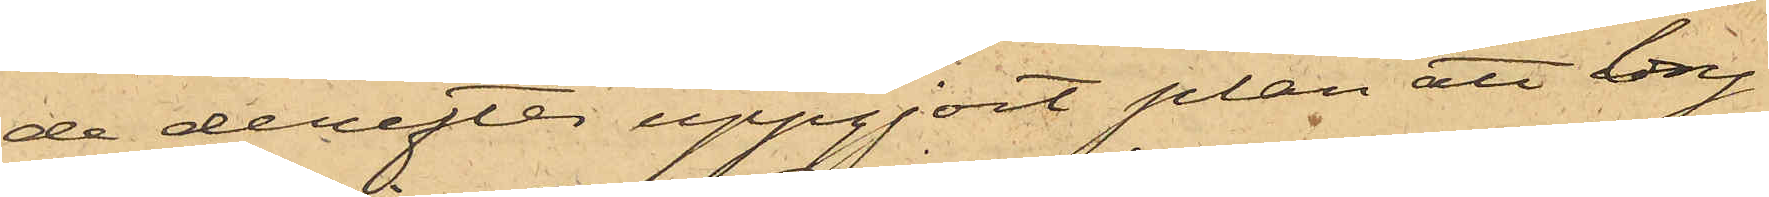de derefter uppgjort plan att bry¬
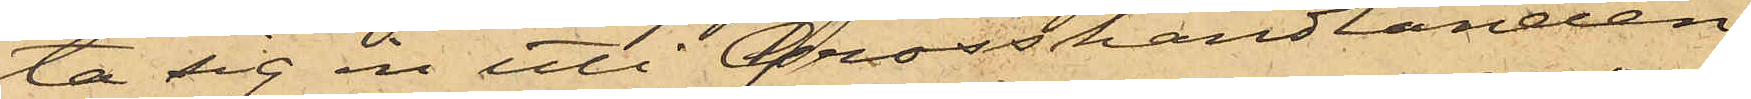ta sig en uti Grosshandlanden
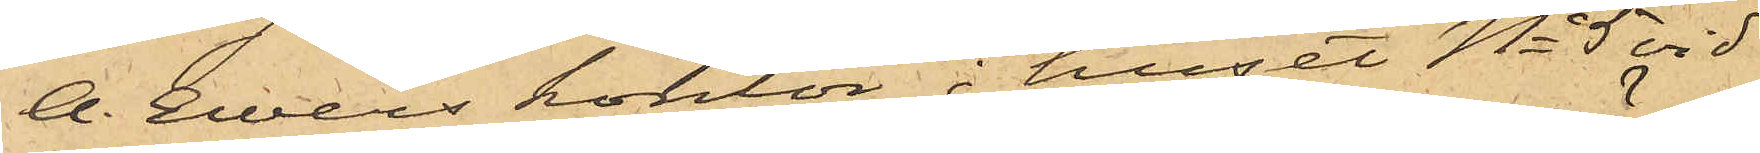A. Ewers kontor i huset No 5 vid
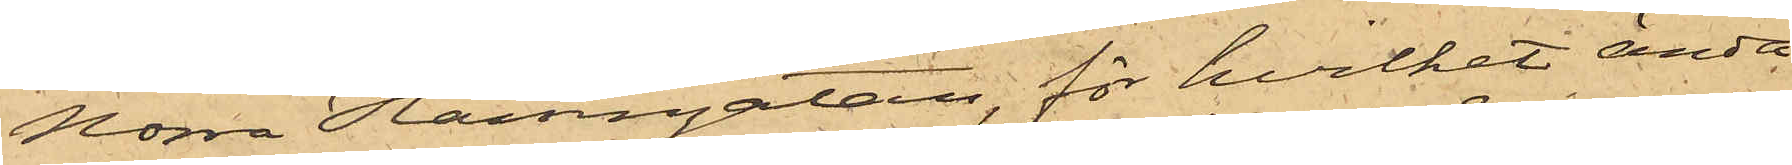Norra Hamngatan, för hvilket ända¬
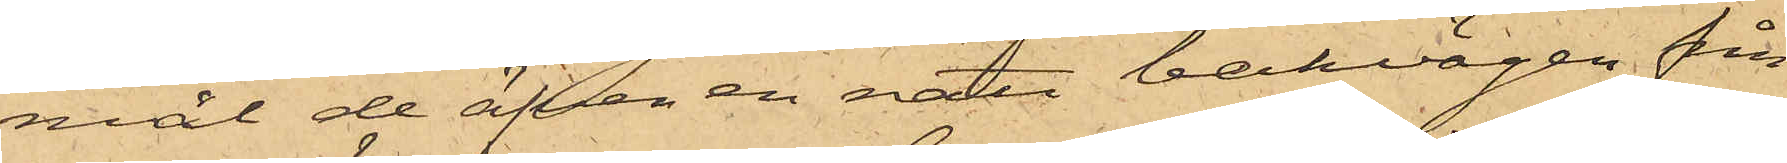mål de äfven en natt bakvägen från
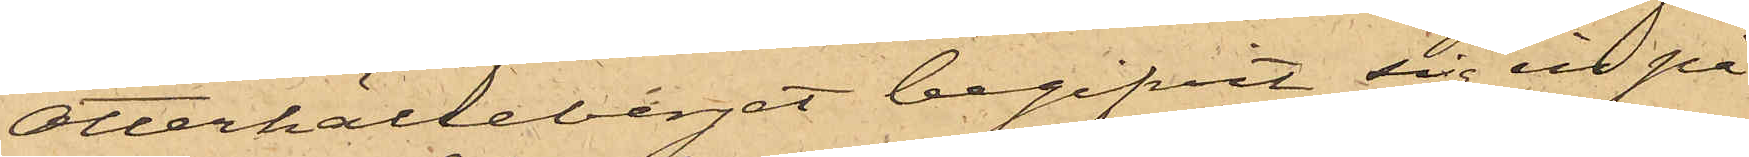Otterhälleberget begifvit sig in på
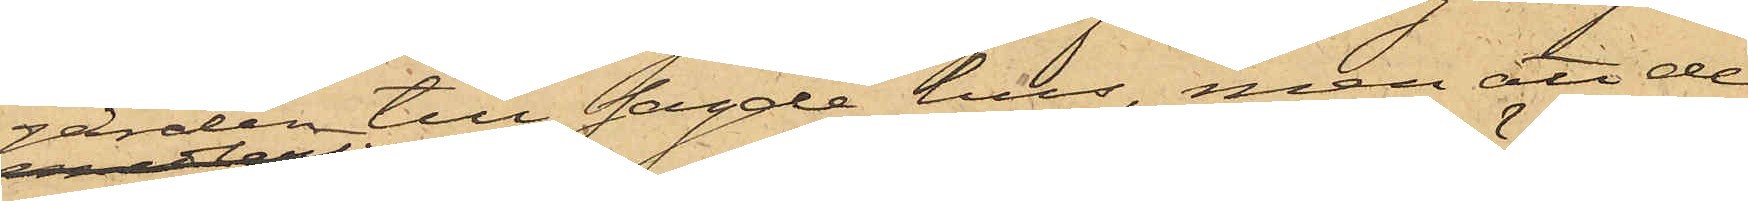gården till sagde hus, men att de
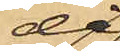då
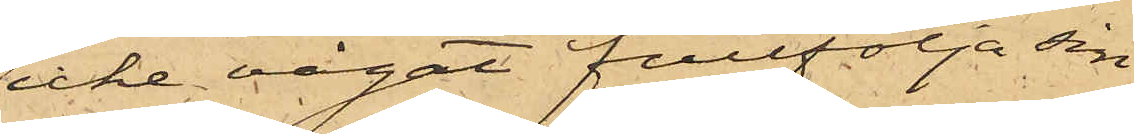icke vågat fullfölja sin
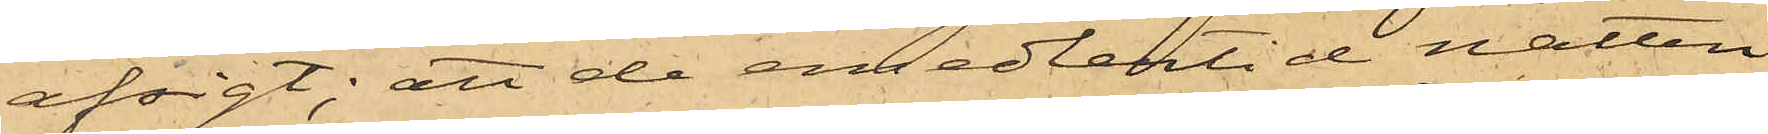afsigt; att de emedlertid natten
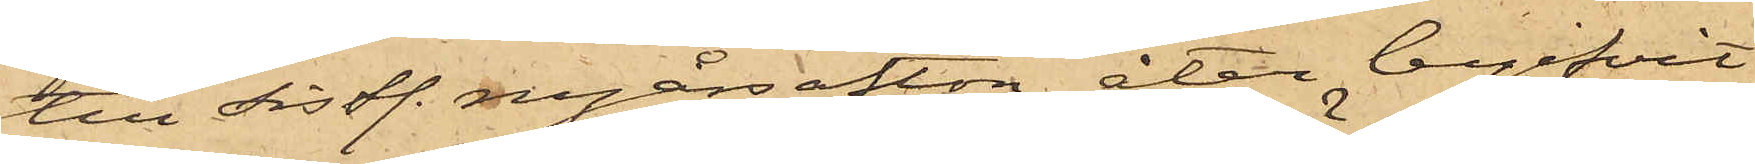till sistl. nyårsafton åter begifvit
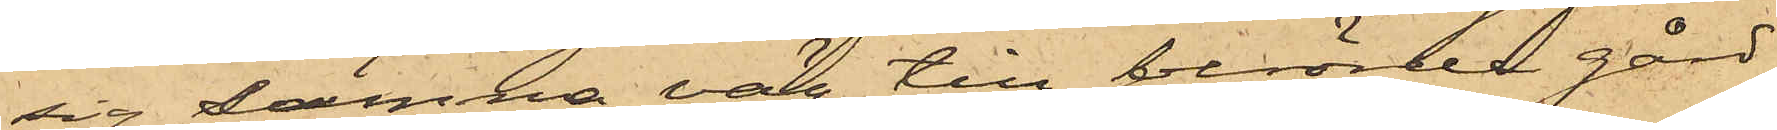sig samma väg till berörde gård,
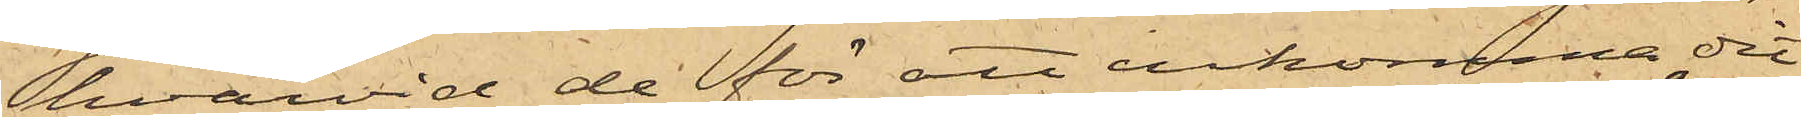hvarvid de för att inkomma dit
